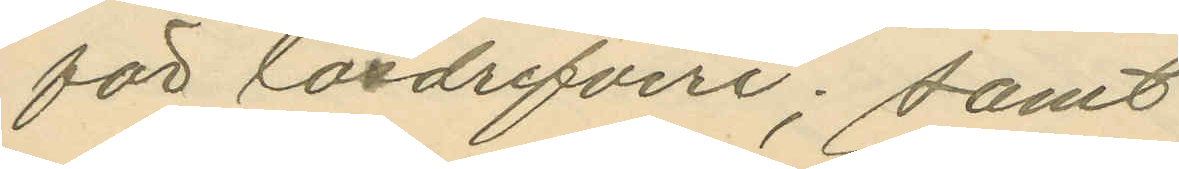för lösdrifveri; samt
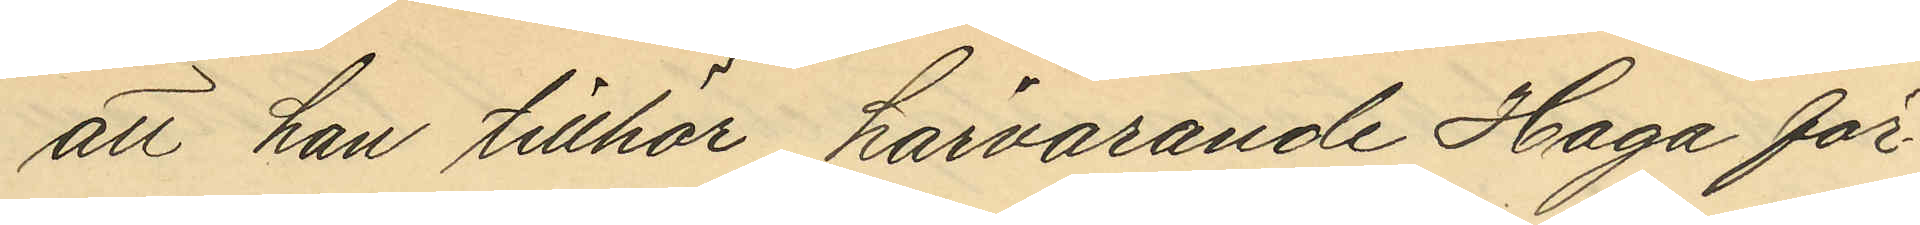att han tillhör härvarande Haga för¬
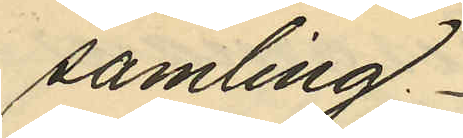samling.
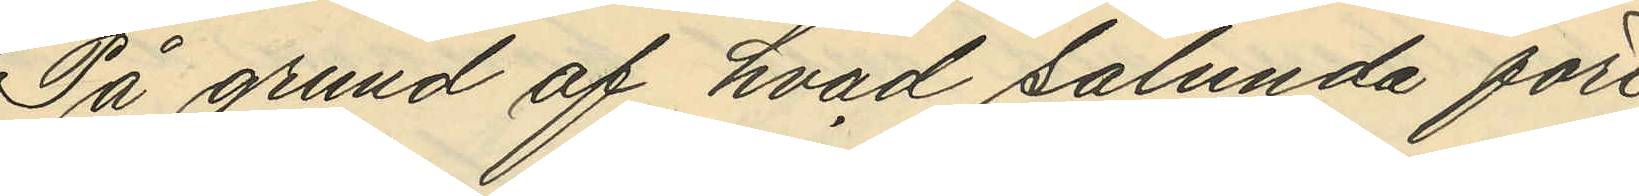På grund af hvad sålunda före¬
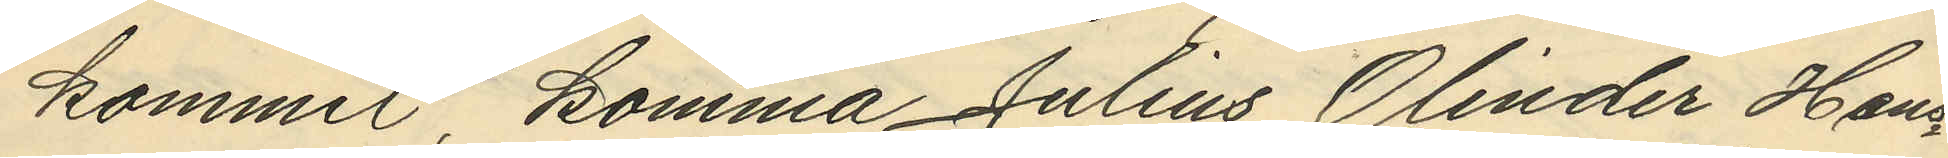kommit, komma Julius Olinder Hans¬
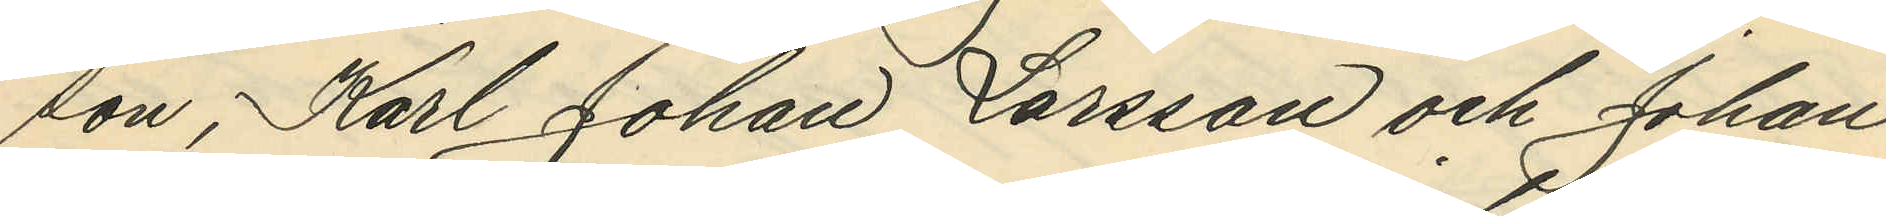son, Karl Johan Larsson och Johan
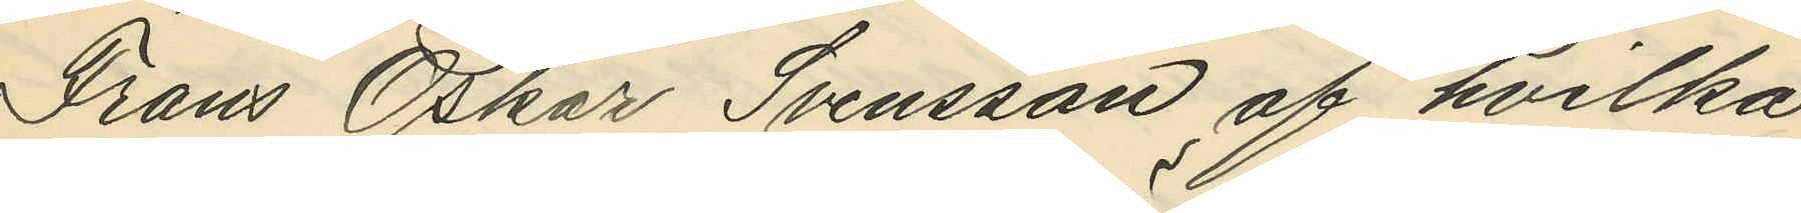Frans Oskar Svensson af hvilka
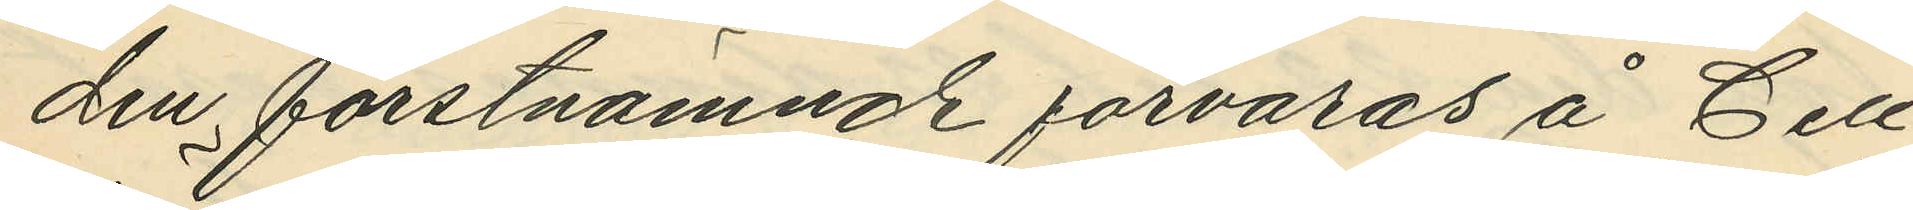den förstnämnde förvaras å Cell¬
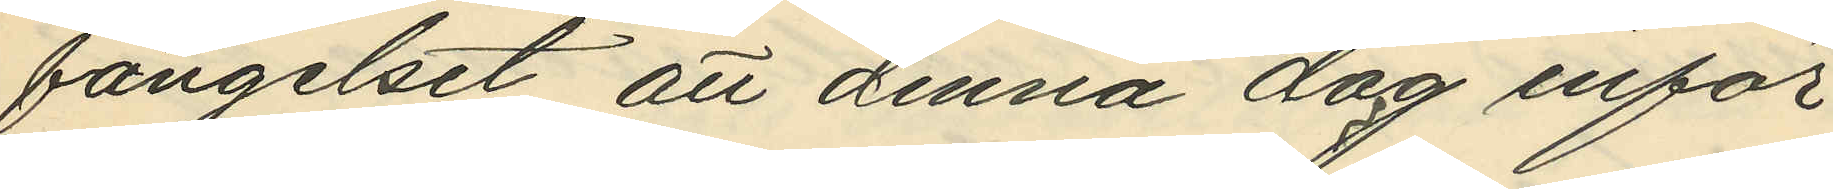fängelset att denna dag inför
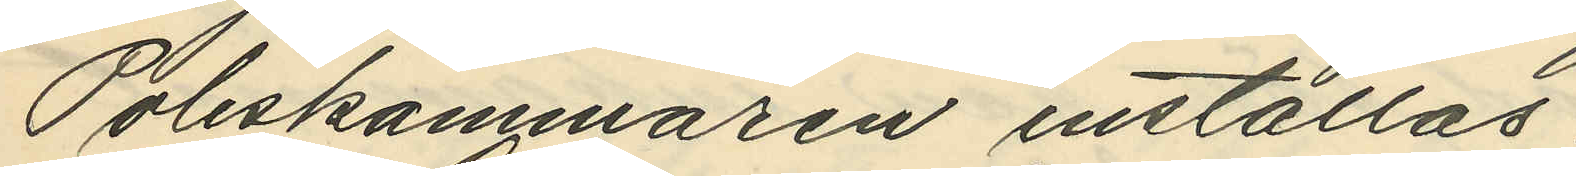Poliskammaren inställas.
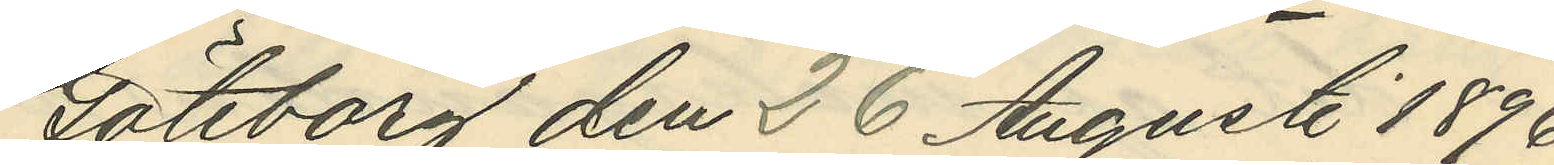Göteborg den 26 Augusti 1896.
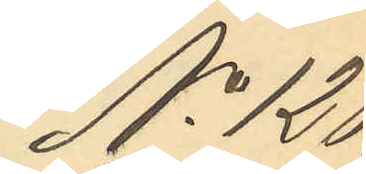No 128.
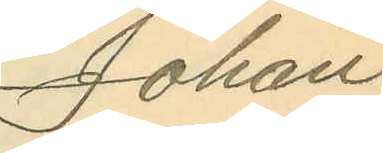Johan
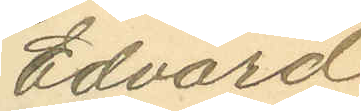Edvard
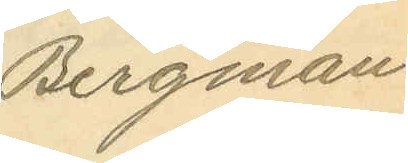Bergman.
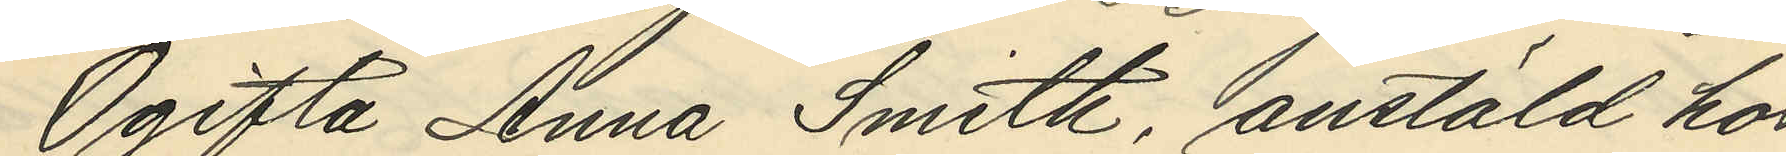Ogifta Anna Smith, anstäld hos
